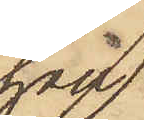han
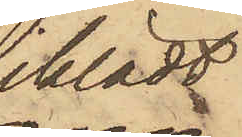iklädt
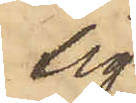sig
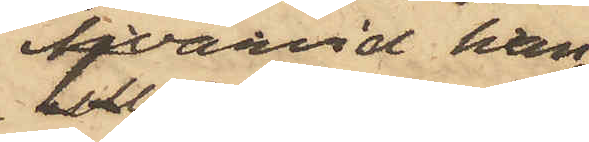hvarvid han
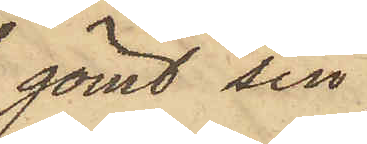gömt sin
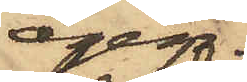egen
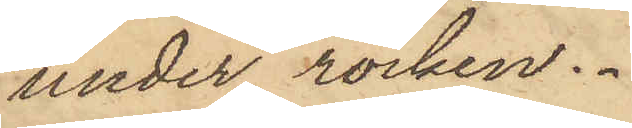under rocken.
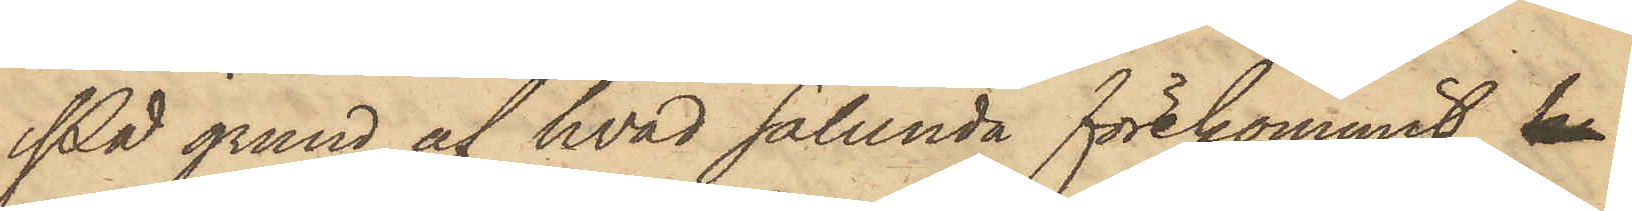På grund af hvad sålunda förekommit, k
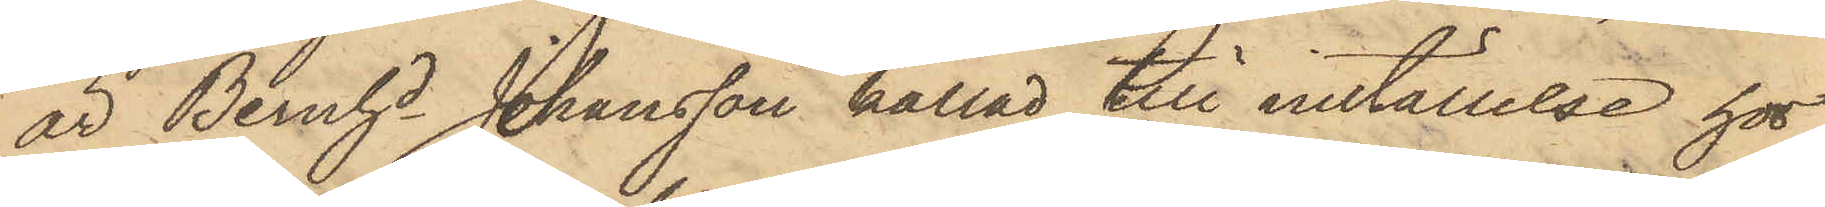är Bernhd Johansson kallad till inställelse hos
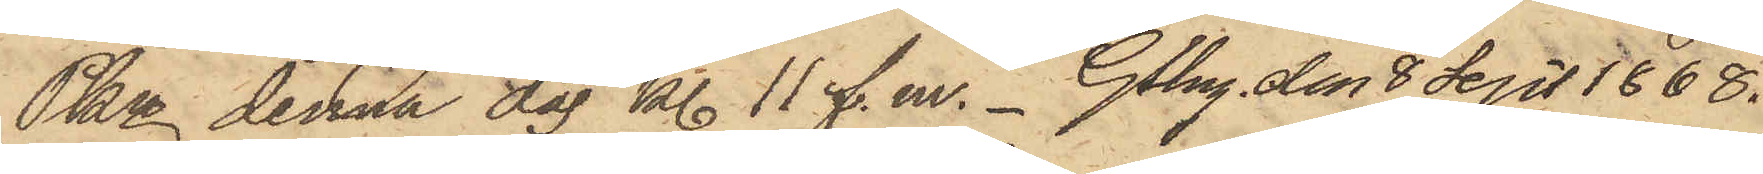Pkn denna dag kl. 11 f. m. Gtbrg. den 8 Sept. 1868.
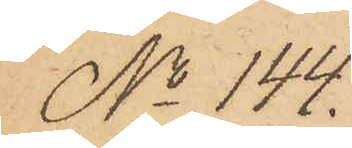No 144.
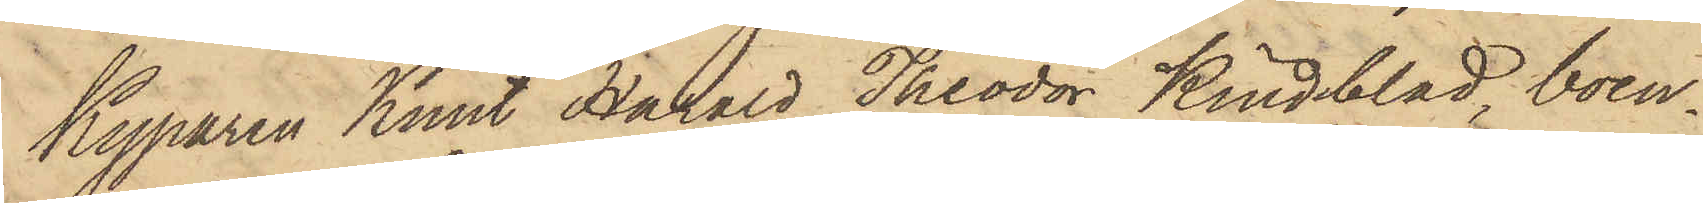Kyparen Knut Harald Theodor Kindblad, boen¬
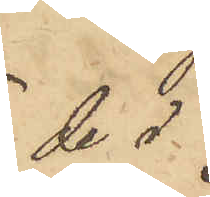de i
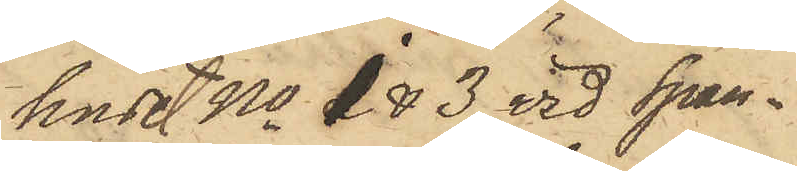huset No 1 & 3 vid Span¬
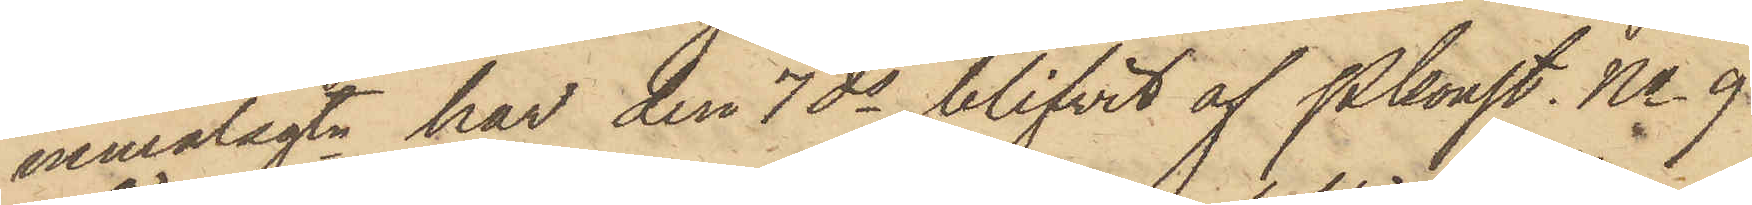nemålsgtn har den 7 ds blifvit af Pkonst. No 9
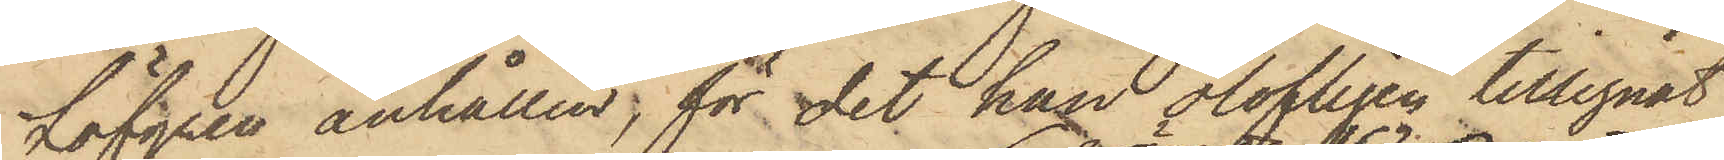Löfgren anhållen; för det han olofligen tillegnat
